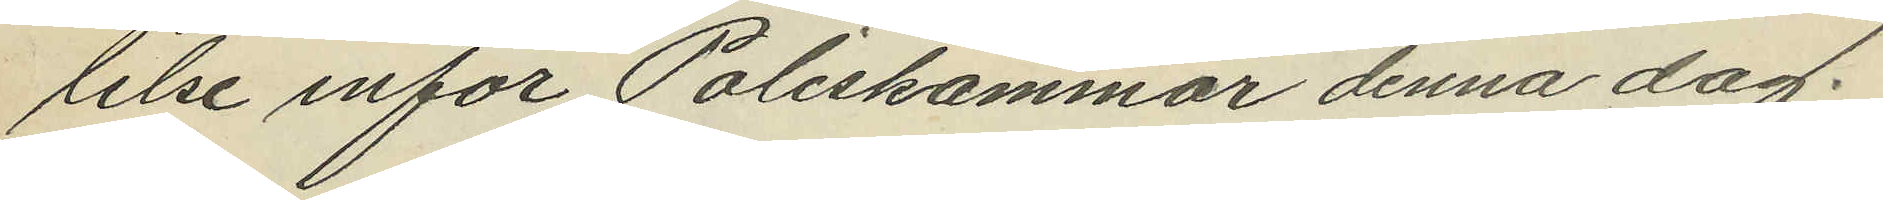lelse inför Poliskammar denna dag.
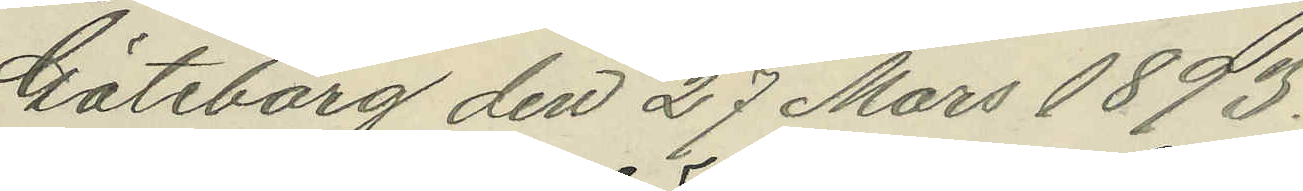Göteborg den 27 Mars 1893.
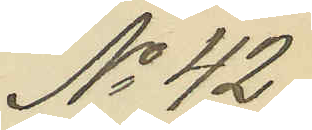No 42.
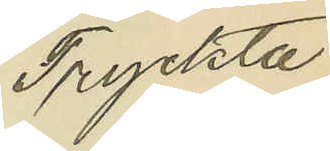Tryckta
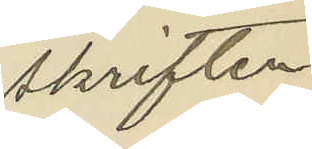skriften
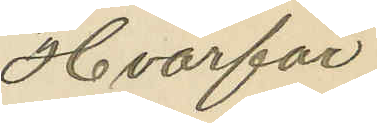"Hvarför
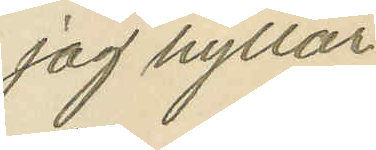jag hyllar
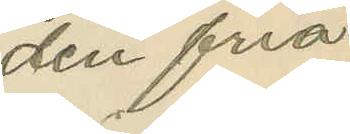den fria
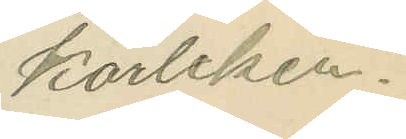kärleken."
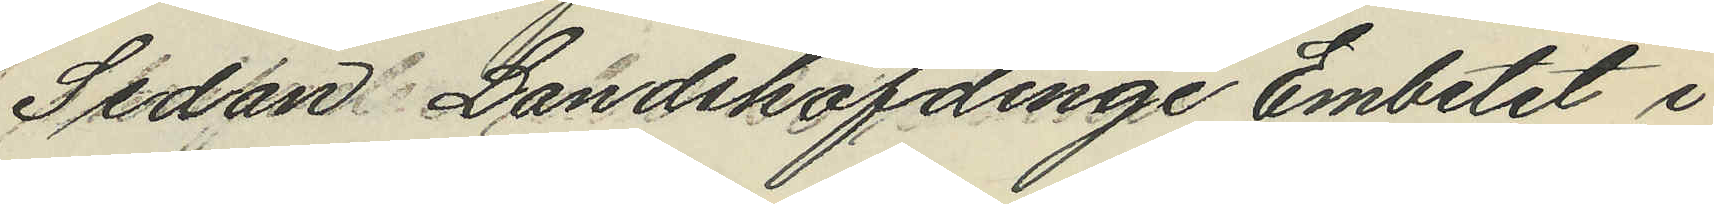Sedan Landshöfdinge Embetet i
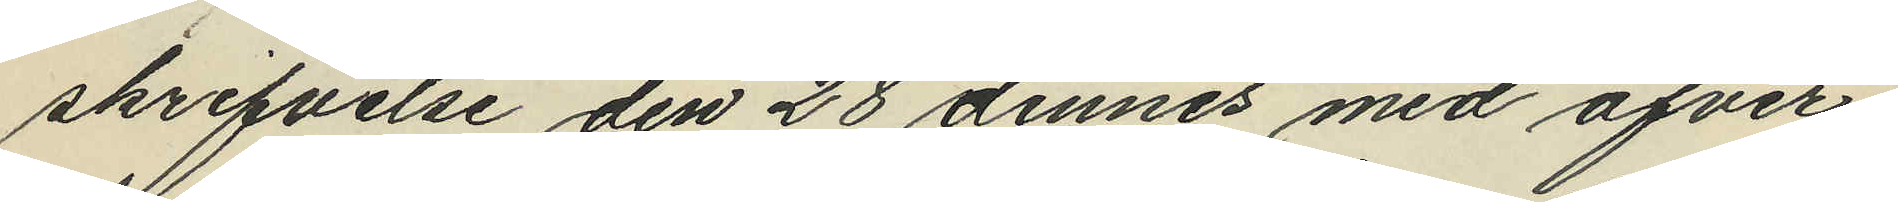skrifvelse den 28 dennes med öfver¬
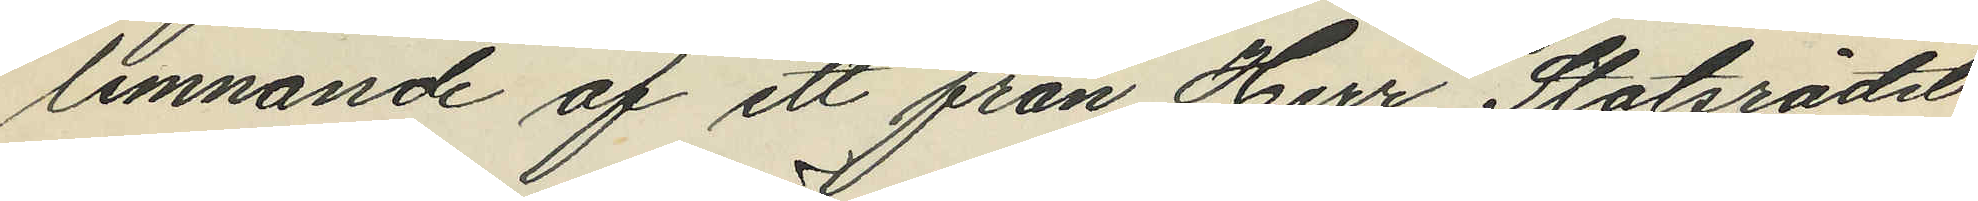lemnande af ett från Herr Statsrådet
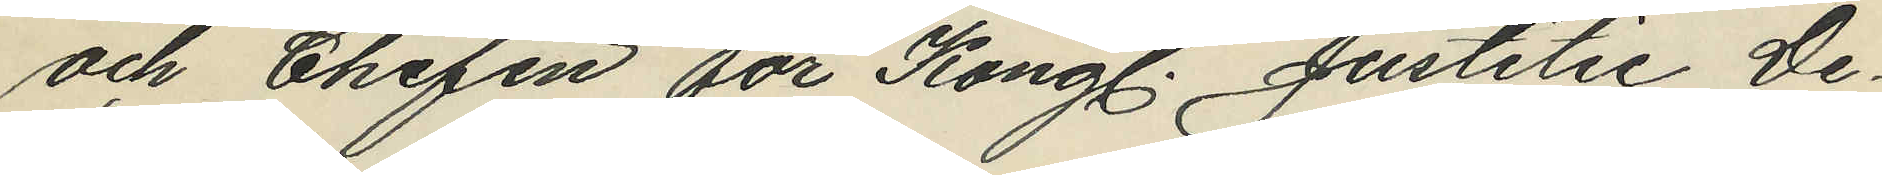och Chefen för Kongl. Justitie De¬
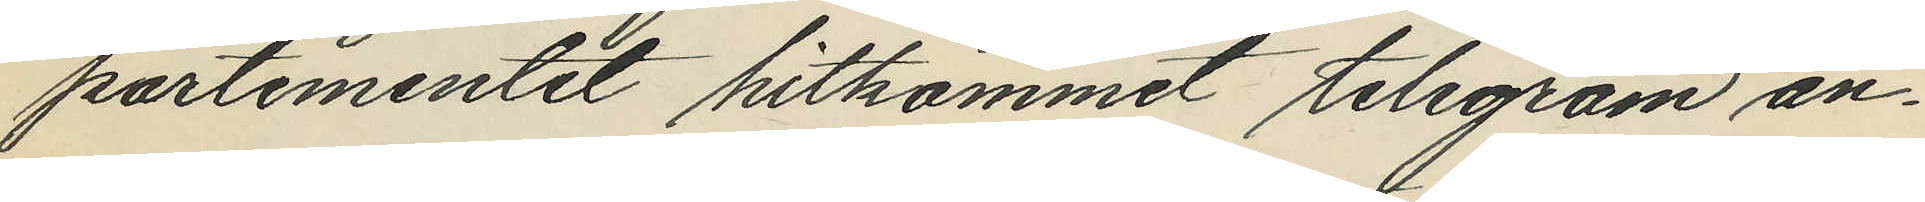partementet hitkommit telegram an¬
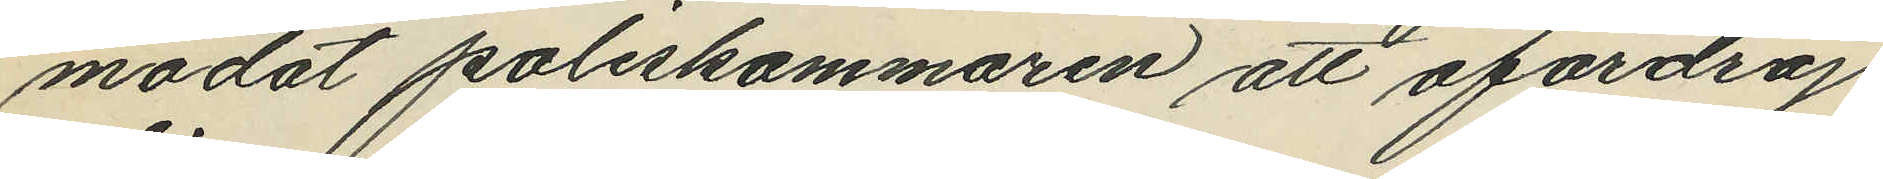modat poliskammaren att ofördröj¬
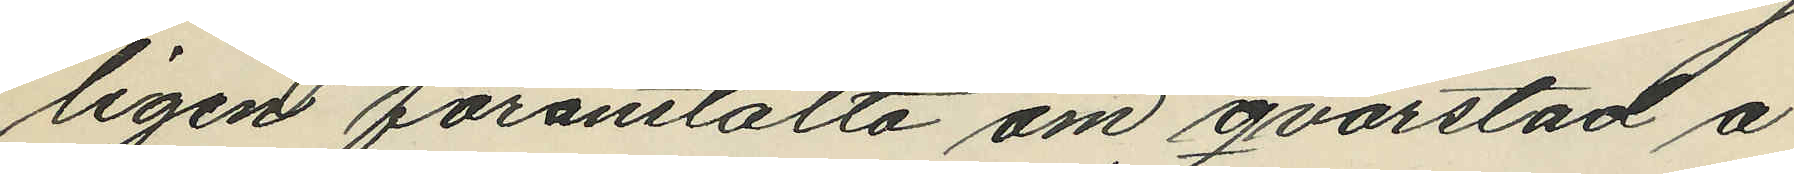ligen föranstalta om qvarstad å
